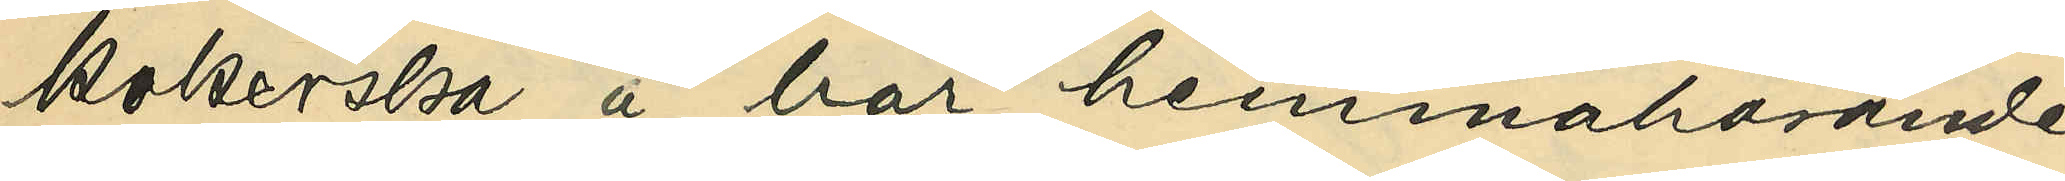kokerska å här hemmahörande
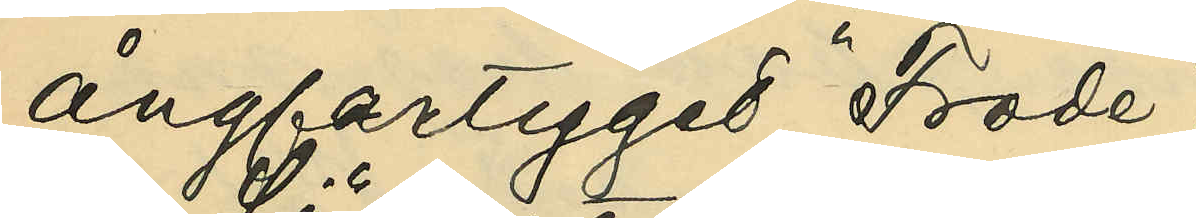ångfartyget "Frode";
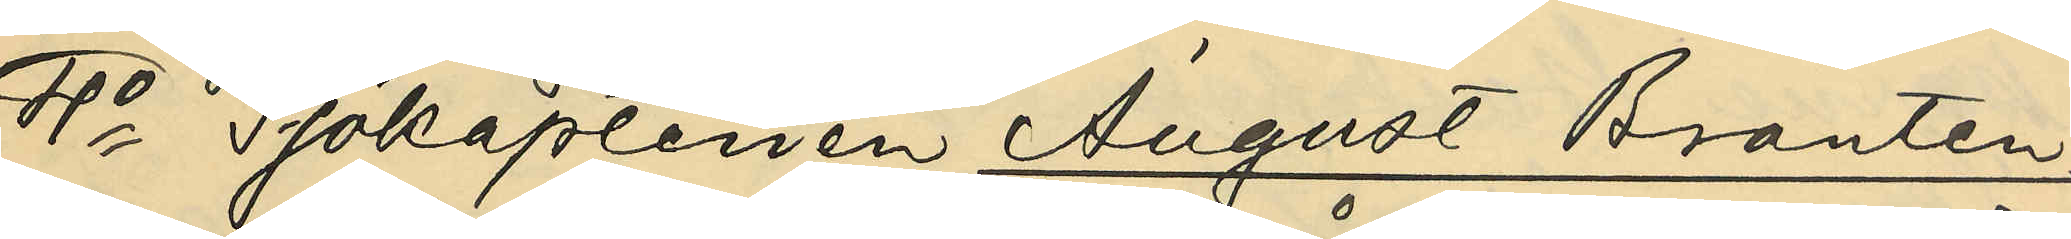4o Sjökaptenen August Branten¬
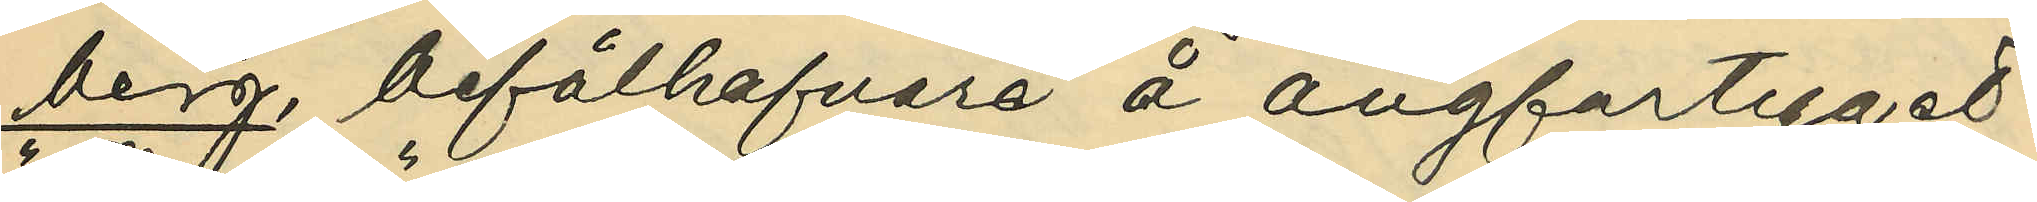berg, befälhafvare å ångfartyget
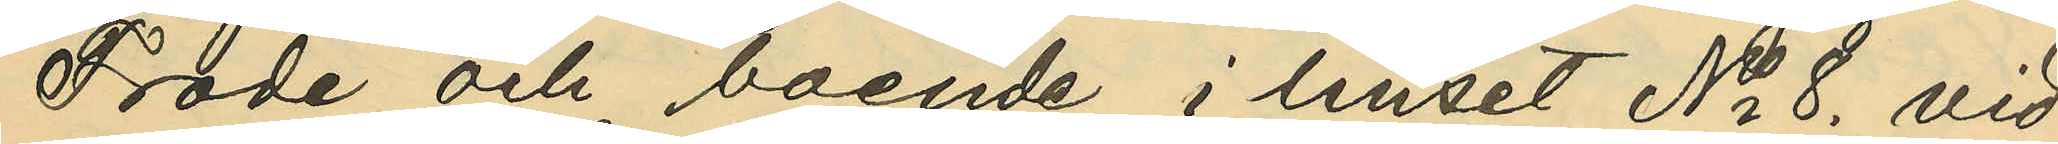"Frode" och boende i huset No 8. vid
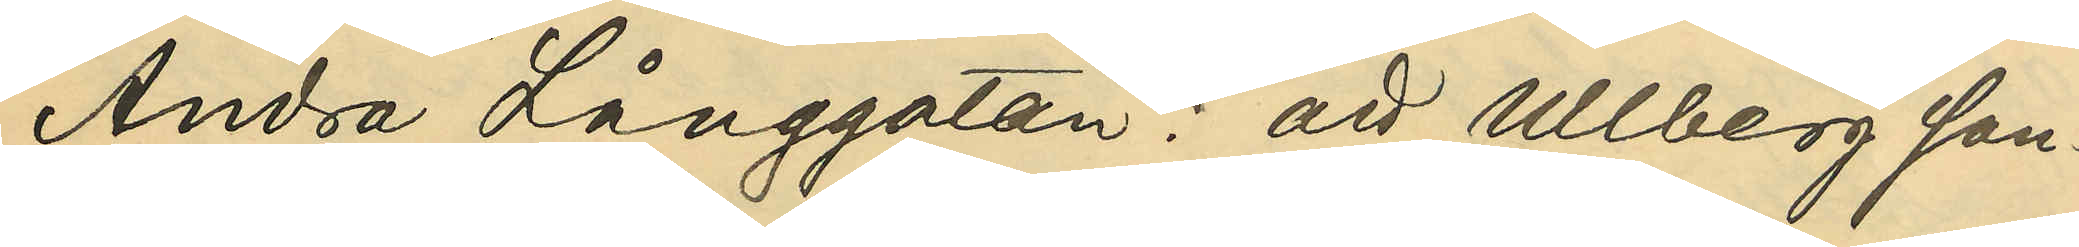Andra Långgatan: att Ullberg san¬
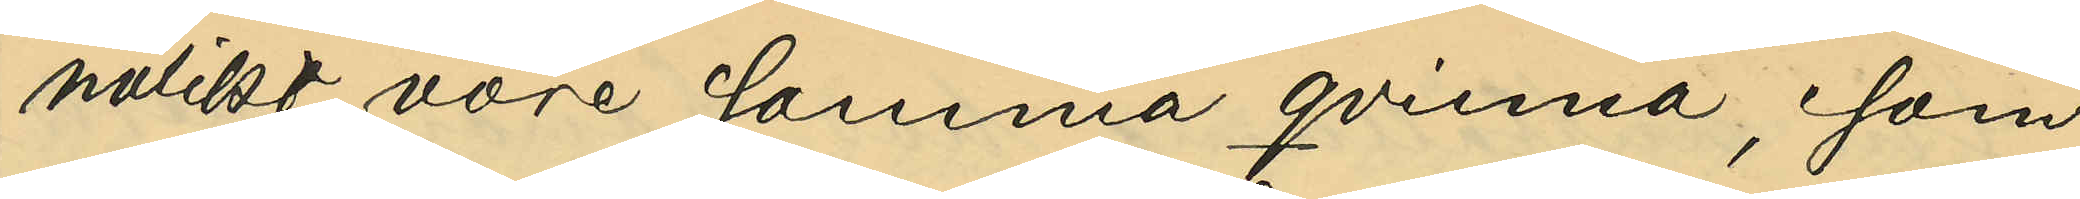nolikt vore samma qvinna, som
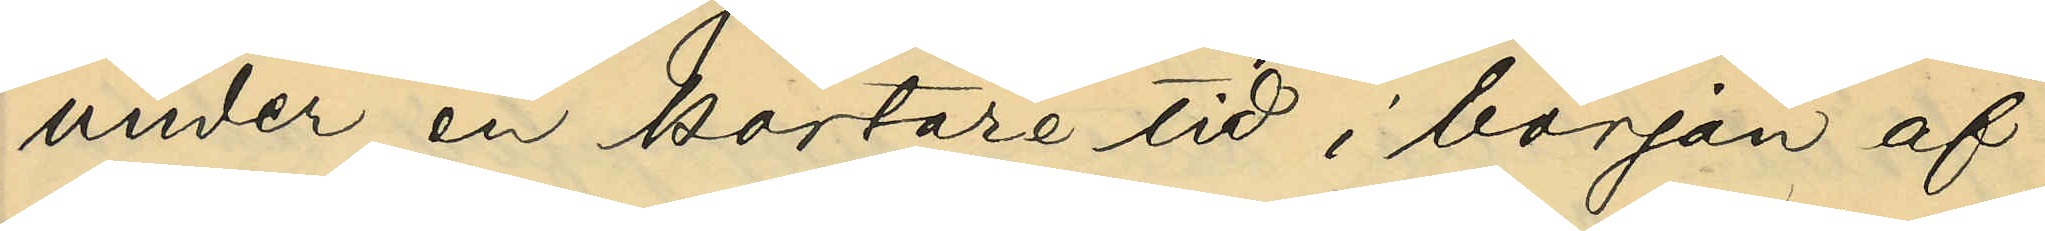under en kortare tid, i början af
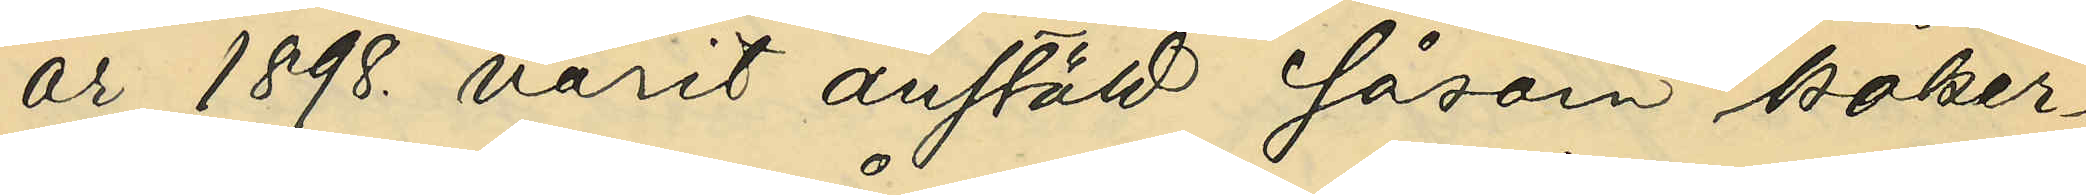år 1898. varit anstäld såsom koker¬
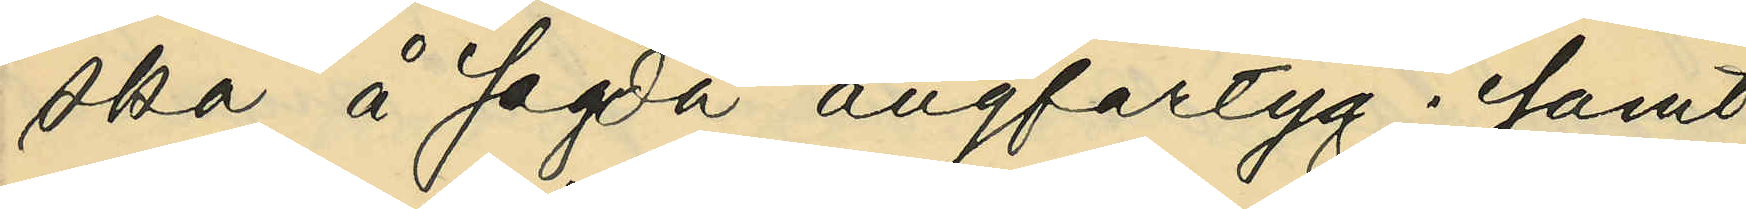ska å sagda ångfartyg; samt
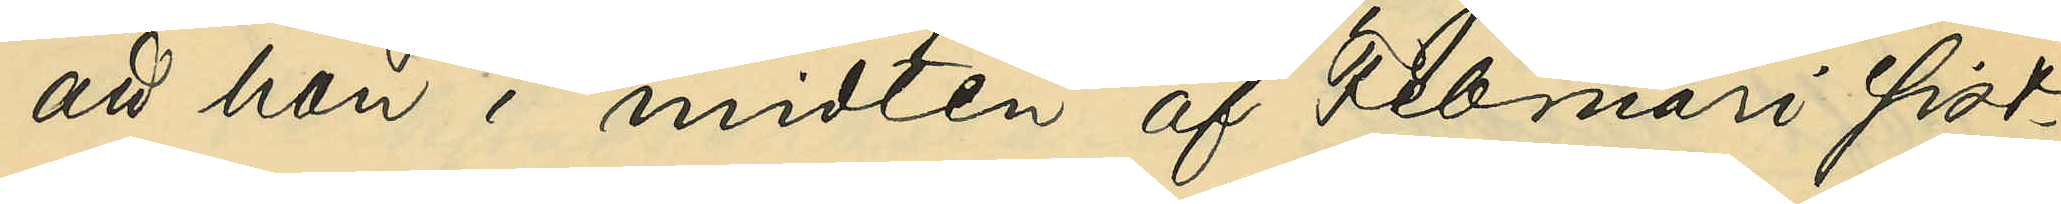att hon i midten af Februari sist¬
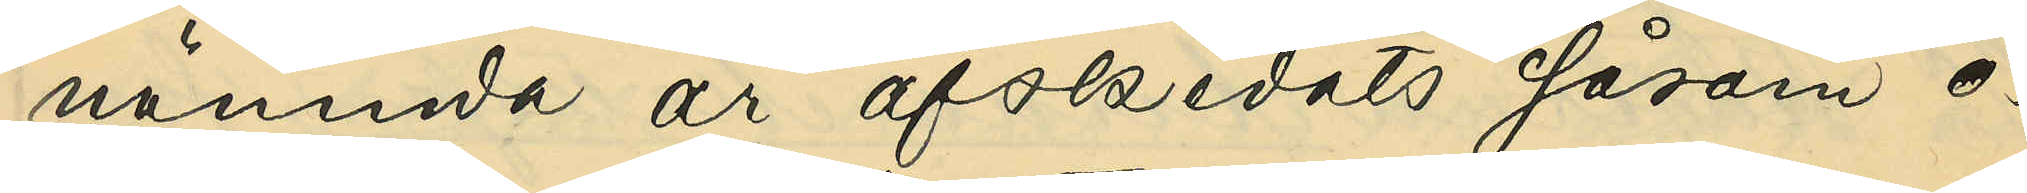nämnda år afskedats såsom o¬
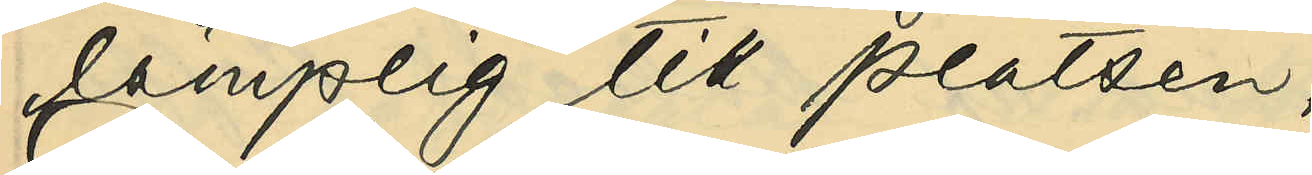lämplig till platsen.
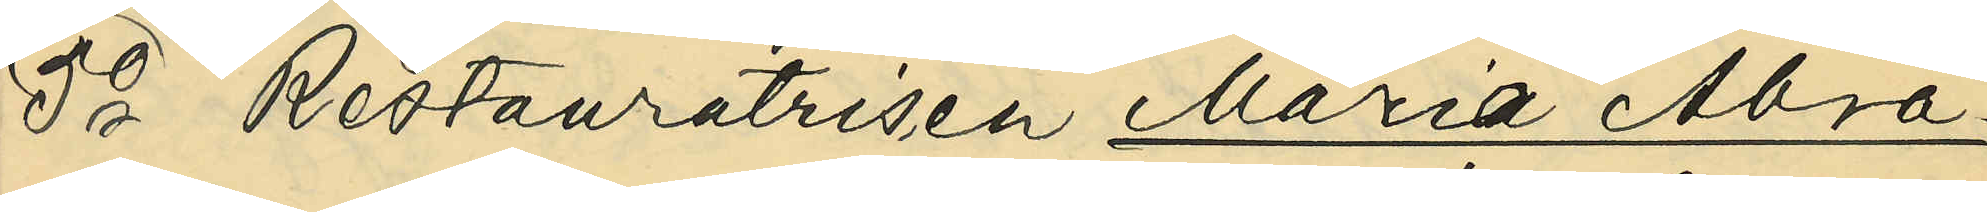5o Restauratrisen Maria Abra¬
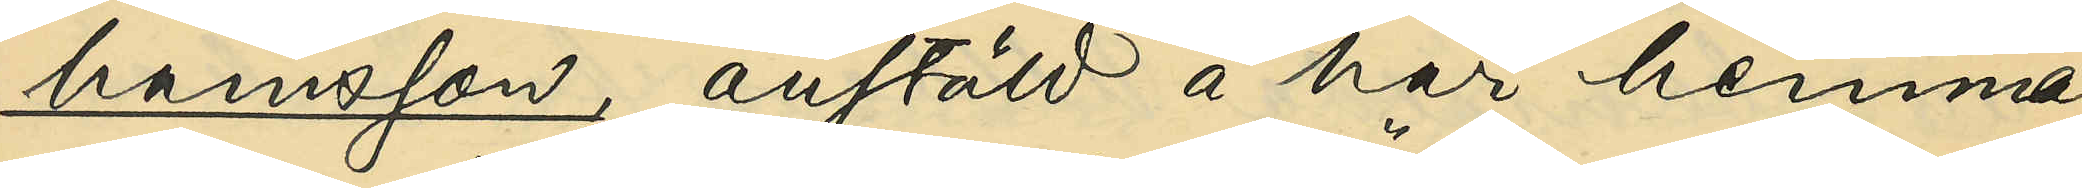hamsson, anstäld å här hemma¬
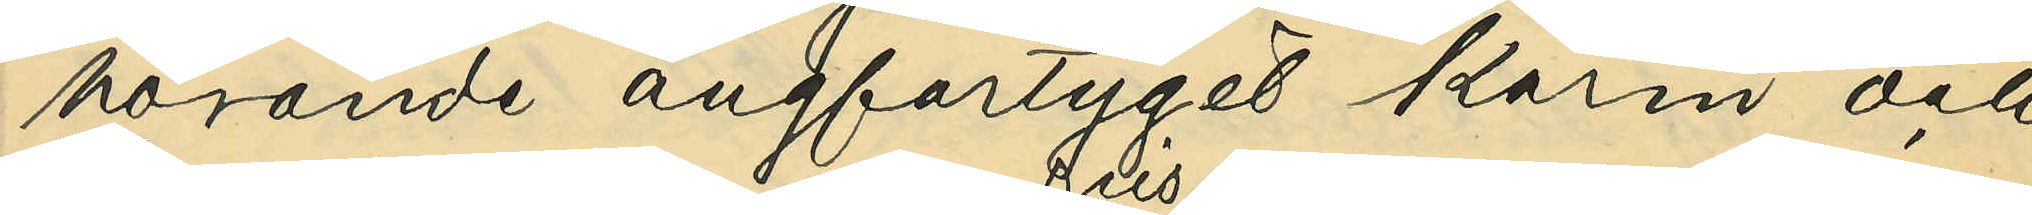hörande ångfartyget "Karin" och 
